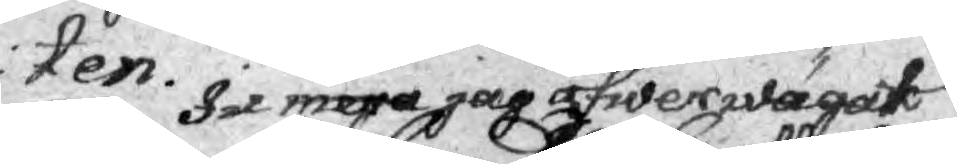ten. Ju mera jag öfwerwägat
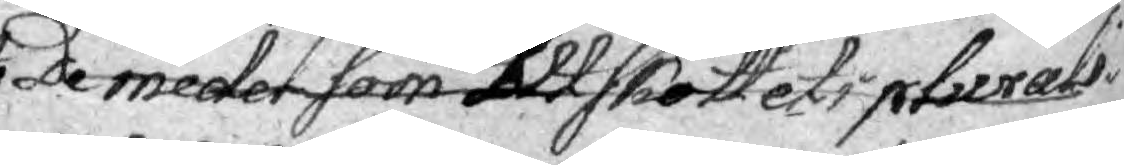De medel som Uttskottet i plurali¬
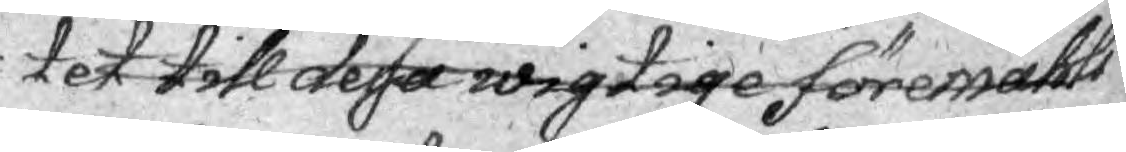 tet till dessa wigtige föremåhls
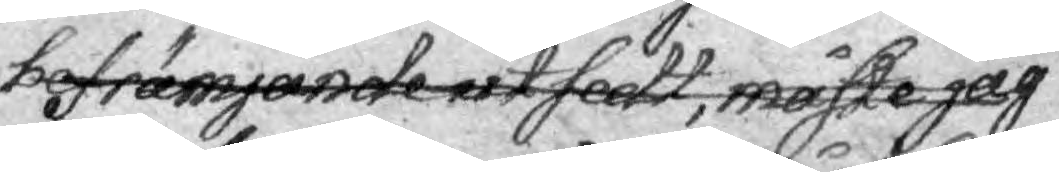befrämjande utsedt, måste jag
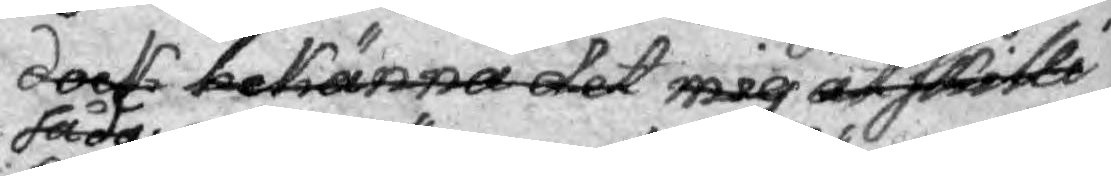dock bekänna det mig åtskilte
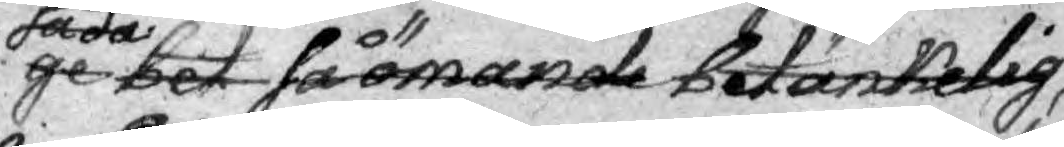ge bet så ömande betänkelig,
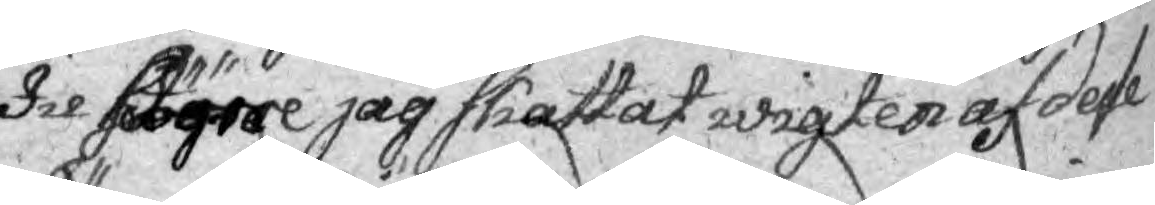Ju högre jag skattat wigten af desse
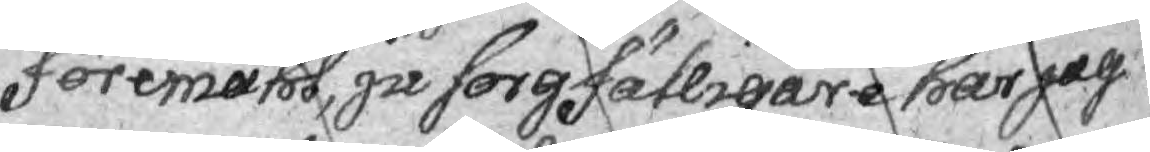föremått, ju sorgfälligare har jag
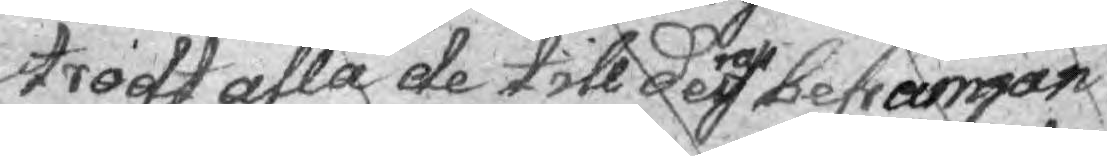trodt alla de till dess befrämjan
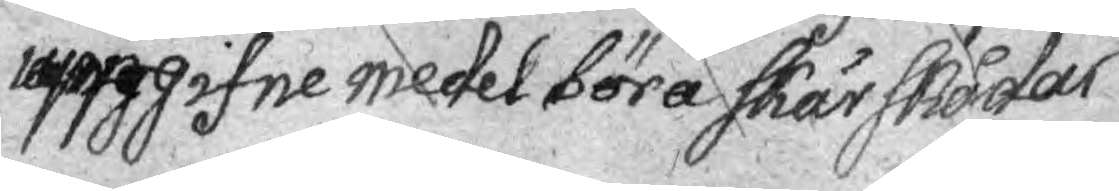uppgifne medel böra Skärskådas
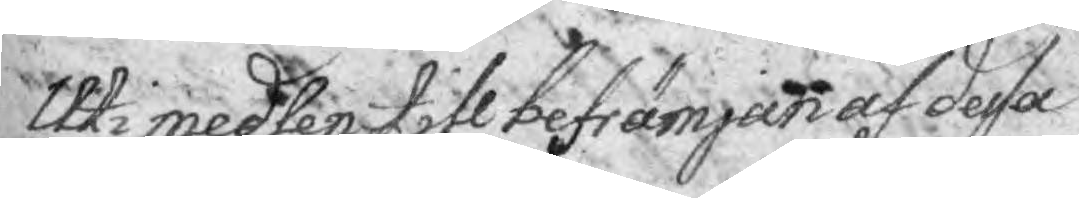Uti medlen till befrämjan af dessa
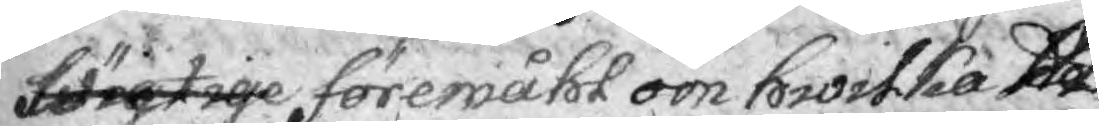förgtige föremåhl om hwilka Ut¬
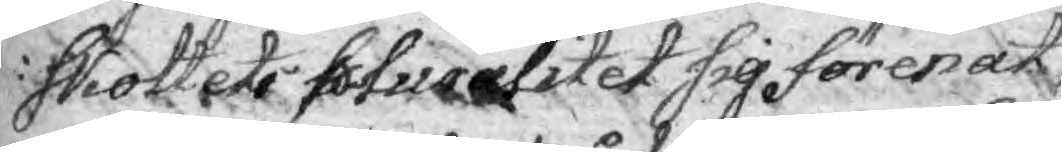Skottets pluralitet sig förenat,
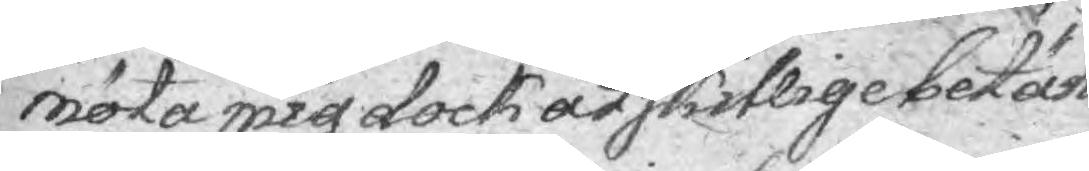möta mig dock åtskillige betän¬
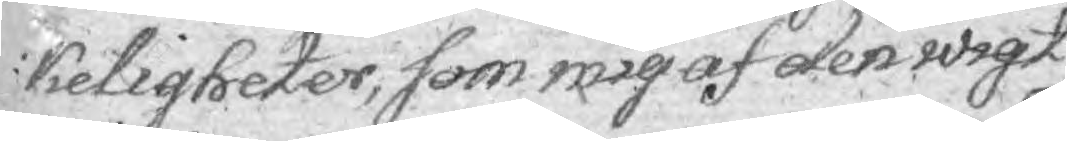keligheter, som mig af den wigt
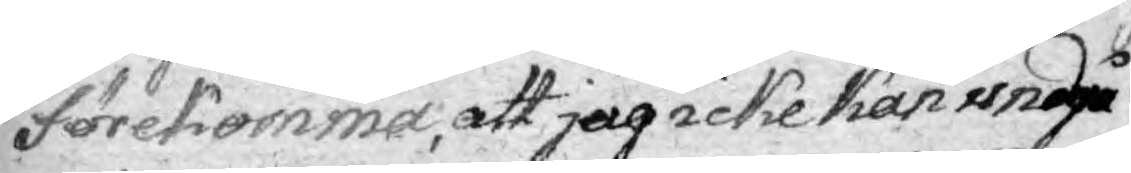förekomma, att jag icke kan undgå
